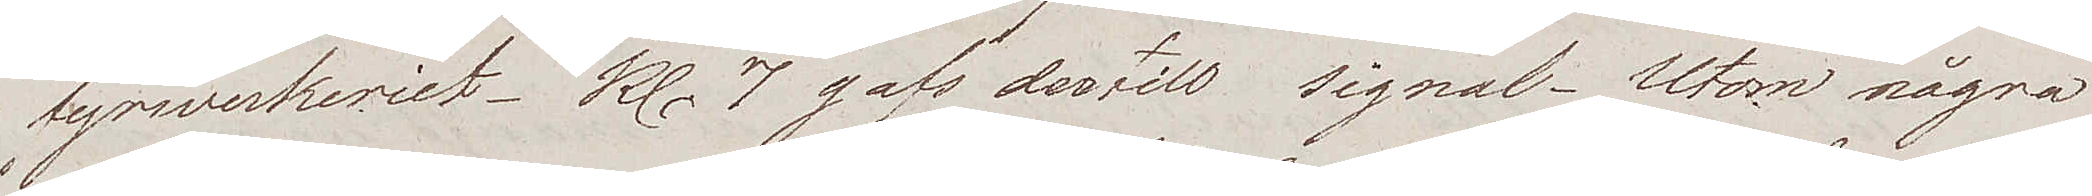fyrwerkeriet. Kl. 7 gafs dertill signal. Utom några
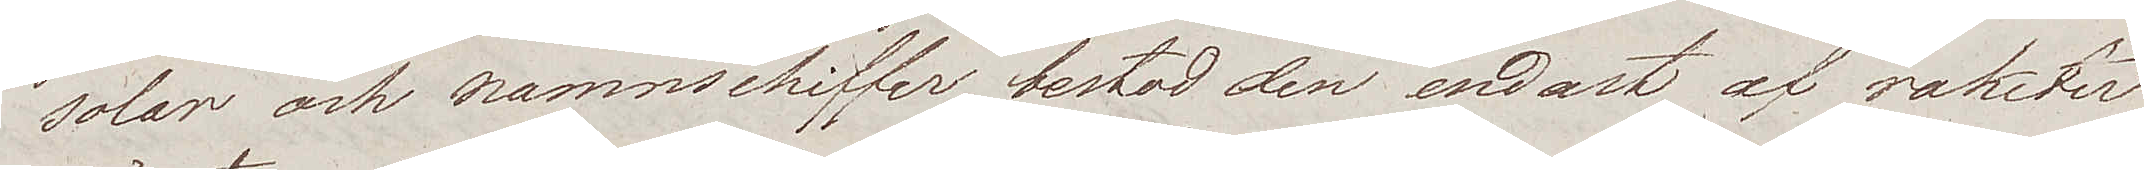solar och namnschiffer, bestod den endast af raketer
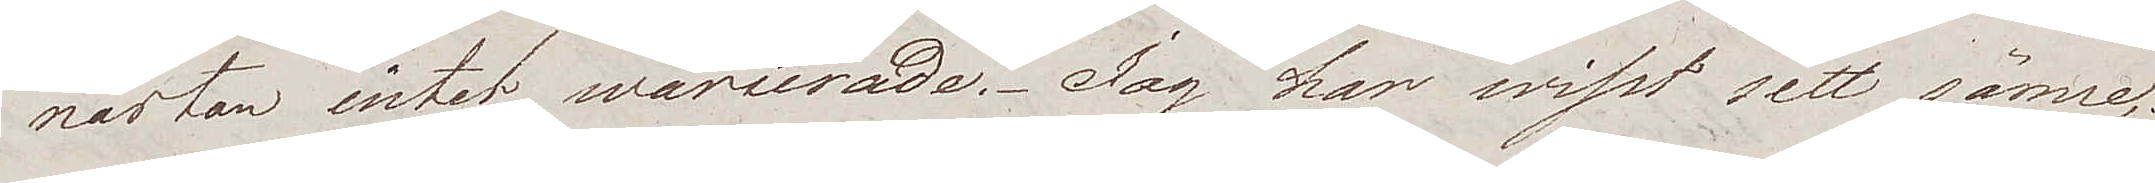nästan intet warierade. Jag har wisst sett sämre;
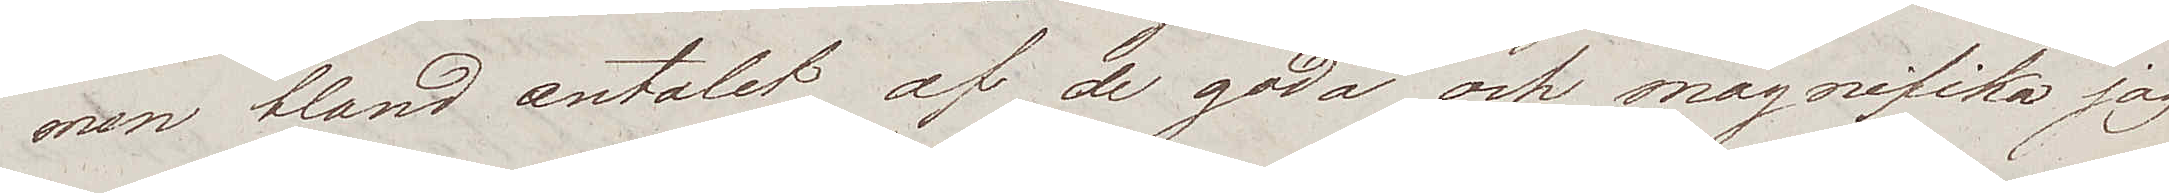men bland antalet af de goda och magnifika jag
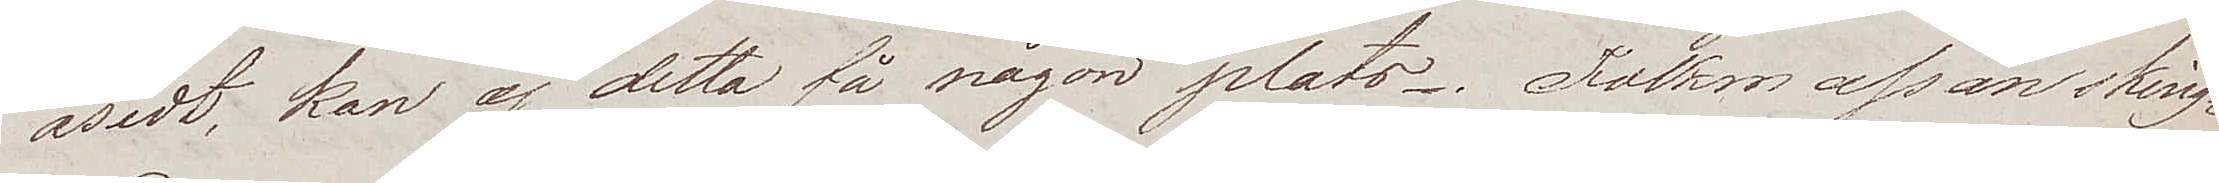åsedt; kan ej detta få någon plats. Folkmassan sking¬
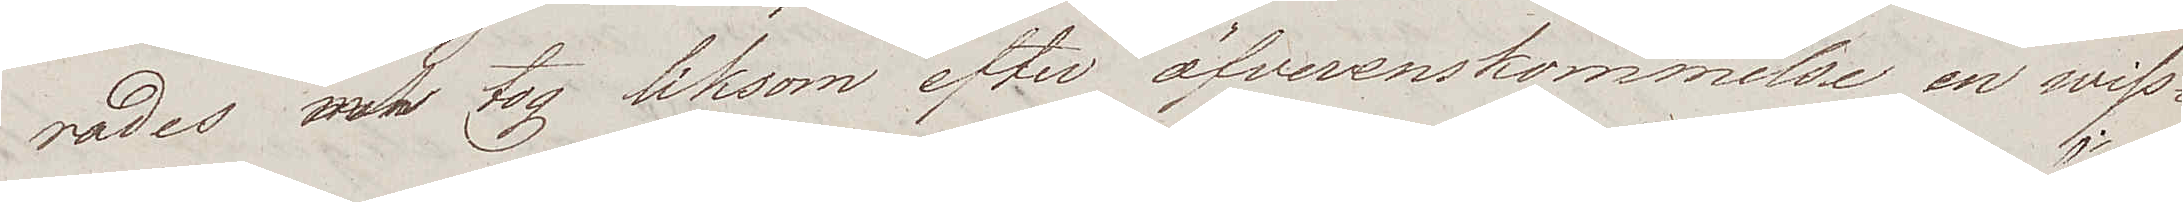rades men tog liksom efter öfverenskommelse en wiss¬
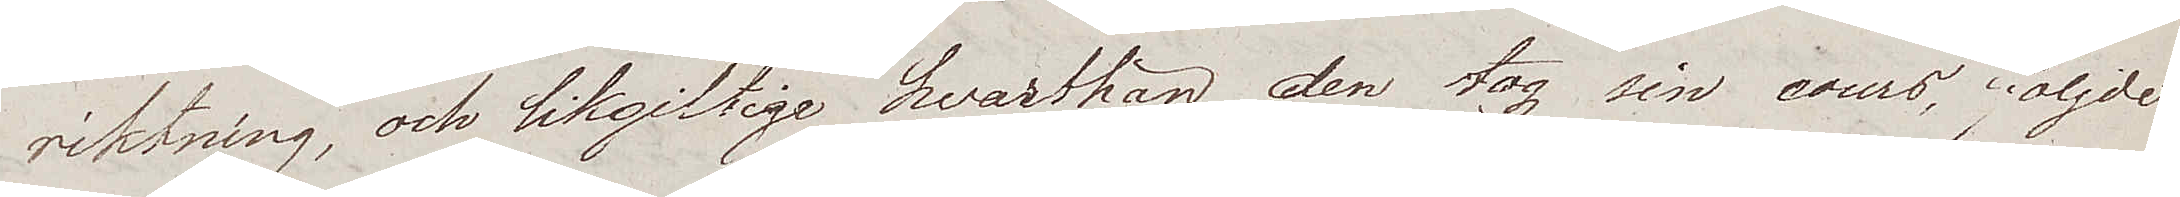riktning, och likgiltige hvarthän den tog sin cours, följde
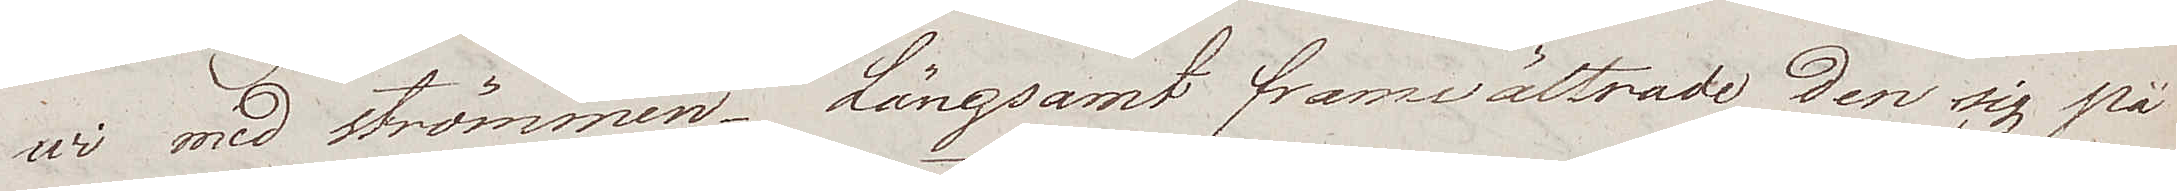wi med strömmen. Långsamt framvältrade den sig på
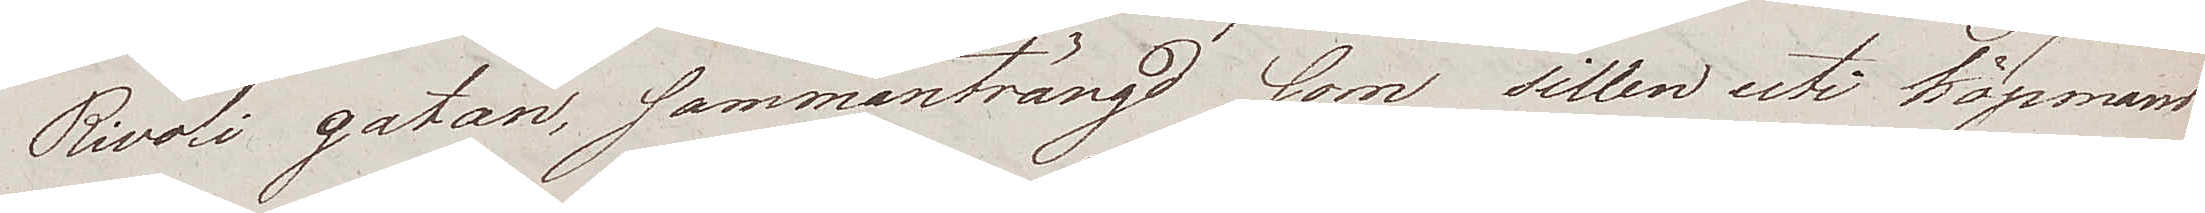Rivoli gatan, sammanträngd som sillen uti Köpmans
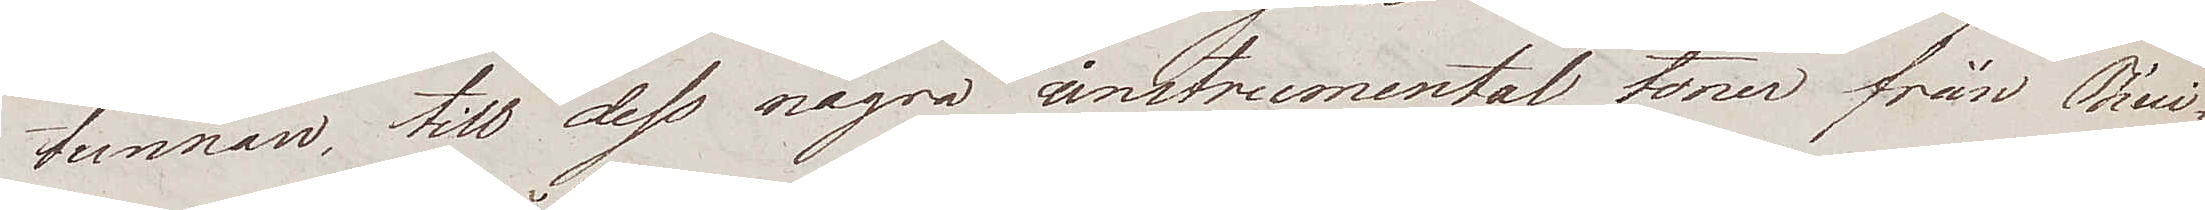tunnan, till dess några instrumental toner från Thui¬
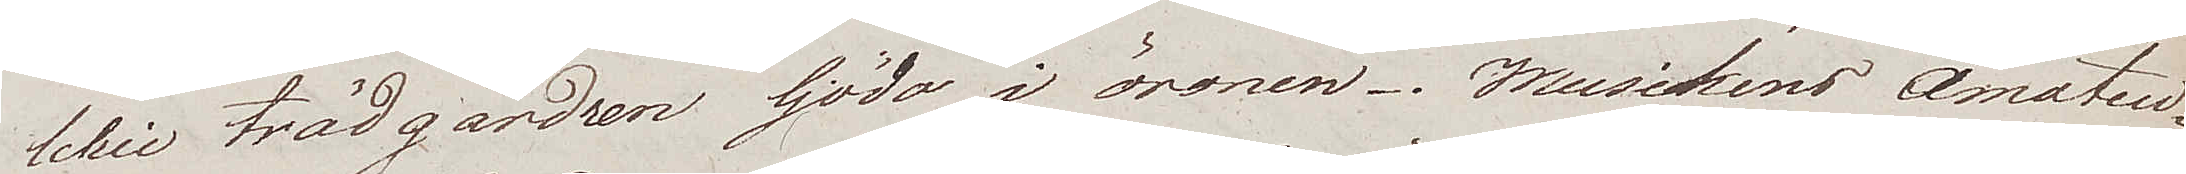lelie trädgårdren ljödo i öronen. Musikens Amateu¬
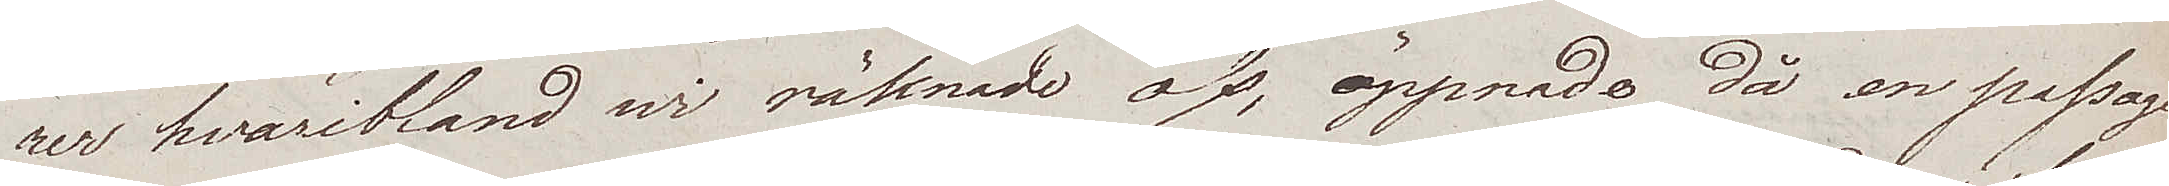rer hvaribland wi räknade oss, öppnade då en passage
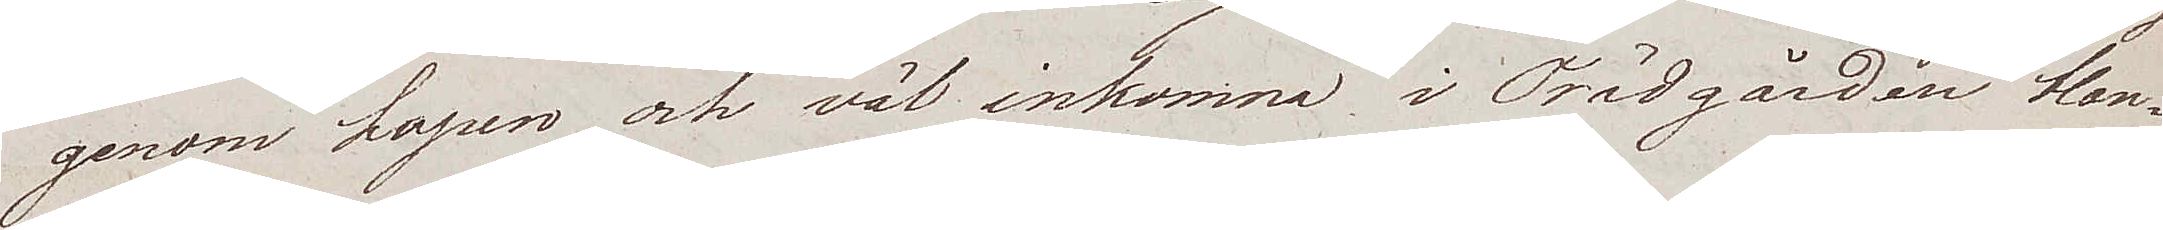genom hopen, och väl inkomna i Trädgården blan¬
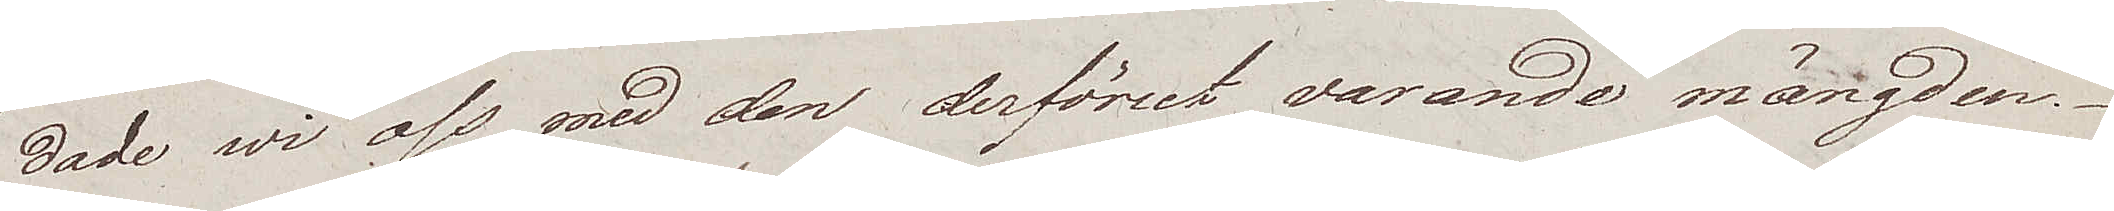dade wi oss med den derförut varande mängden.
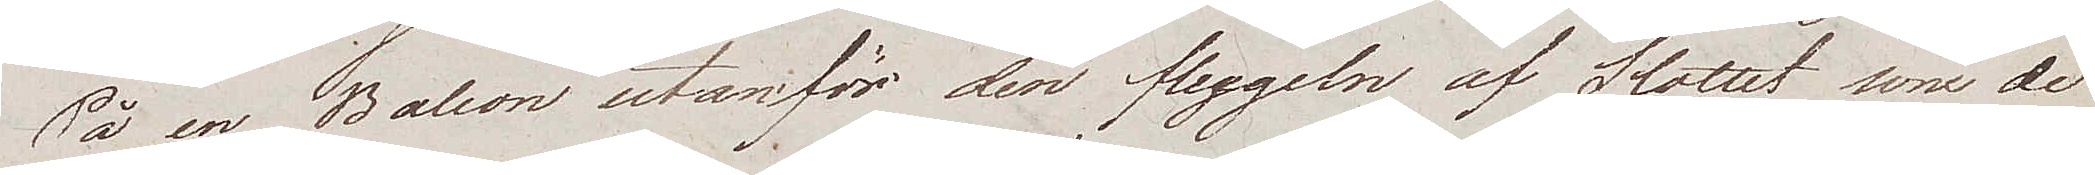På en Balcon utanför den flygeln af Slottet som de
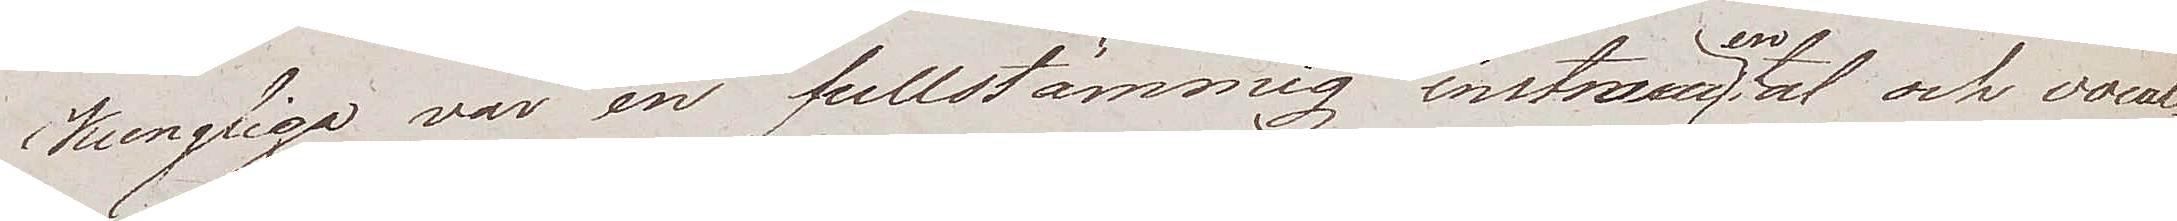Kungliga var en fullstämmig instrumental och vocal¬
